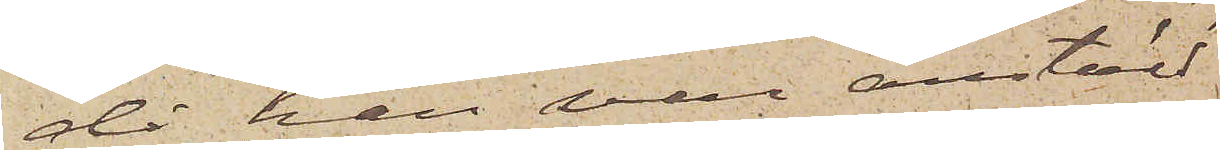då han var anstäld
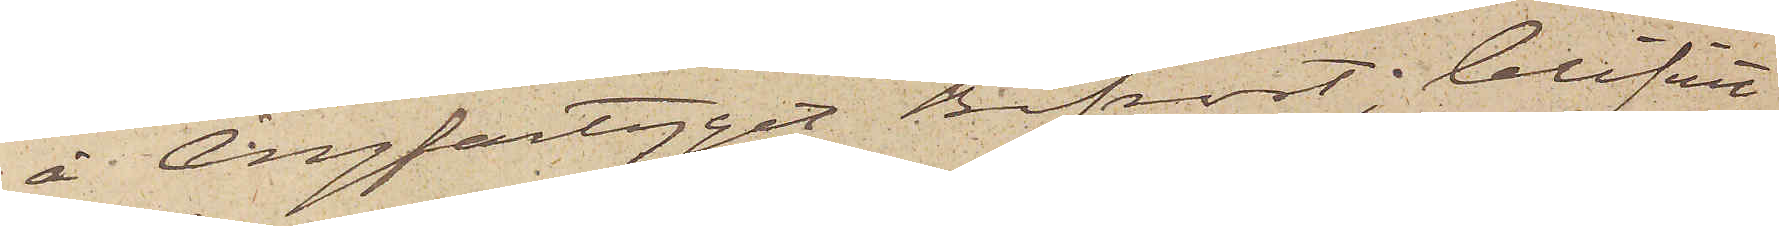å Ångfartyget Bifrost, blifvit
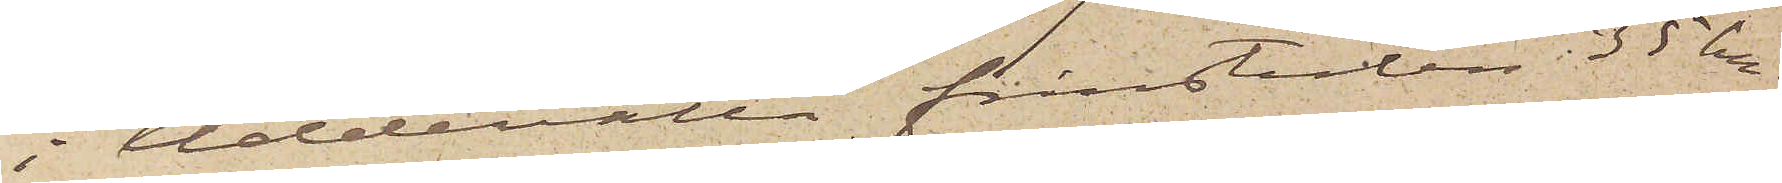i Uddevalla frånstulen 35 kr,
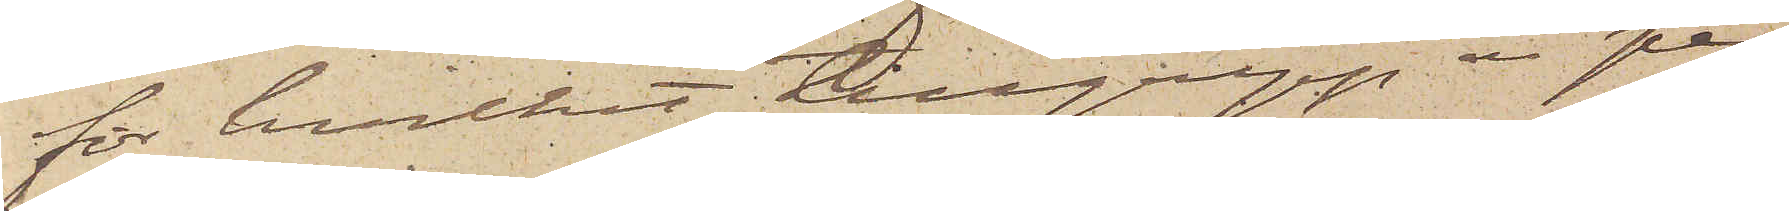för hvilket tillgrepp en pen¬
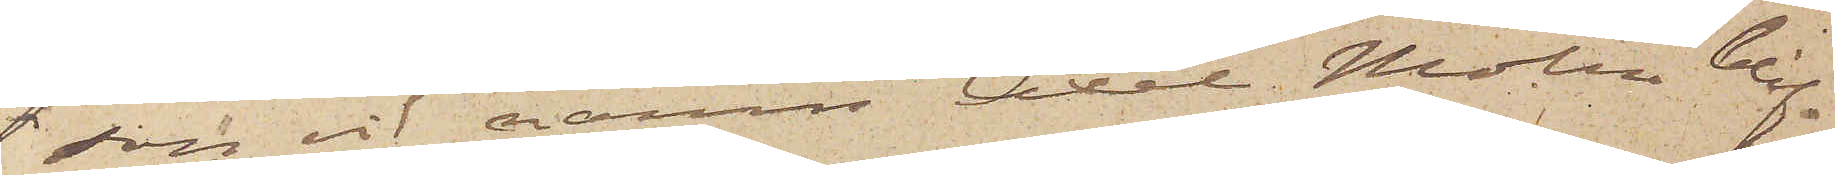son vid namn Axel Molin blif¬
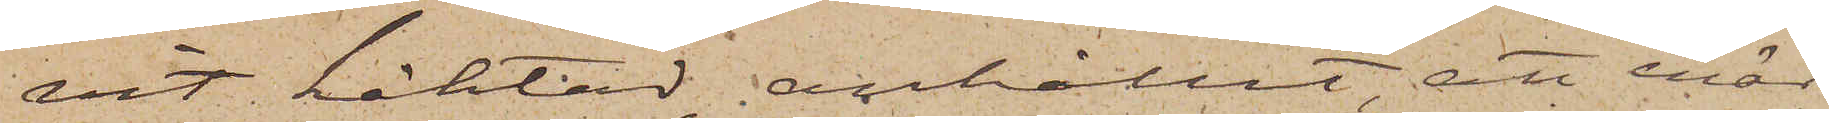vit häktad, anhållit, att enär
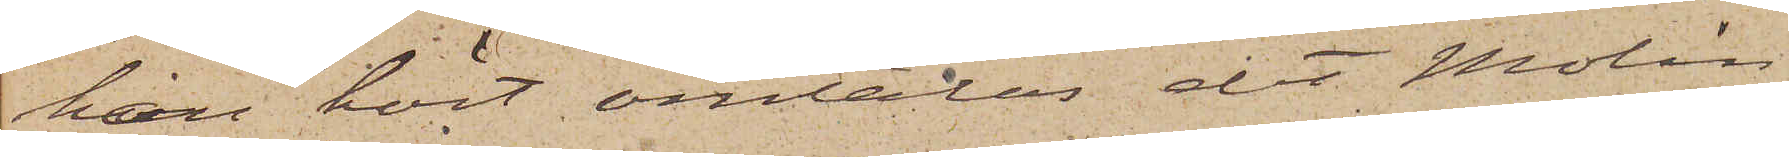han hört omtalas det Molin
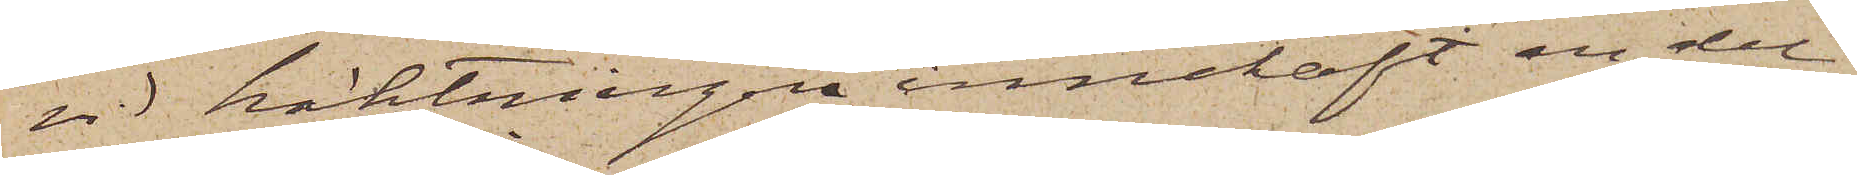vid häktningen innehaft en del
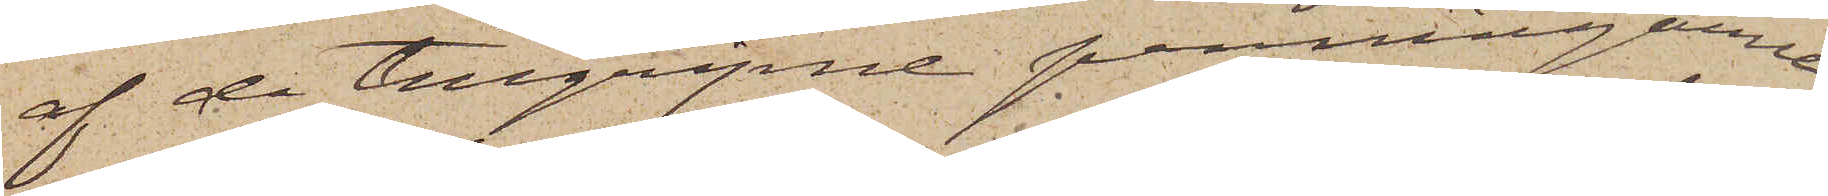af de tillgripne penningarne,
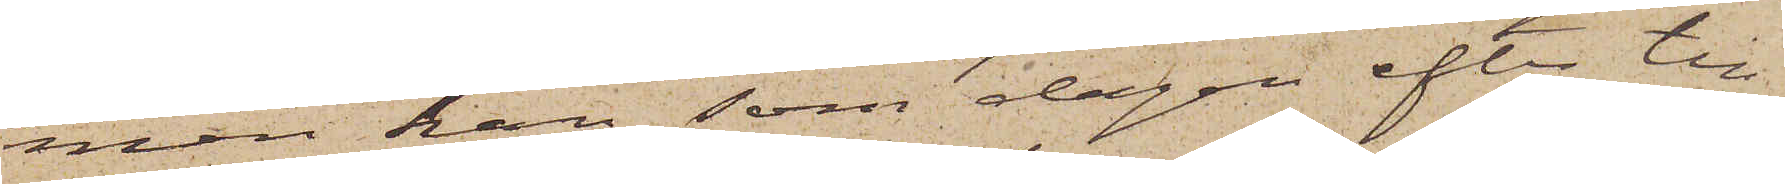men han, som dagen efter till¬
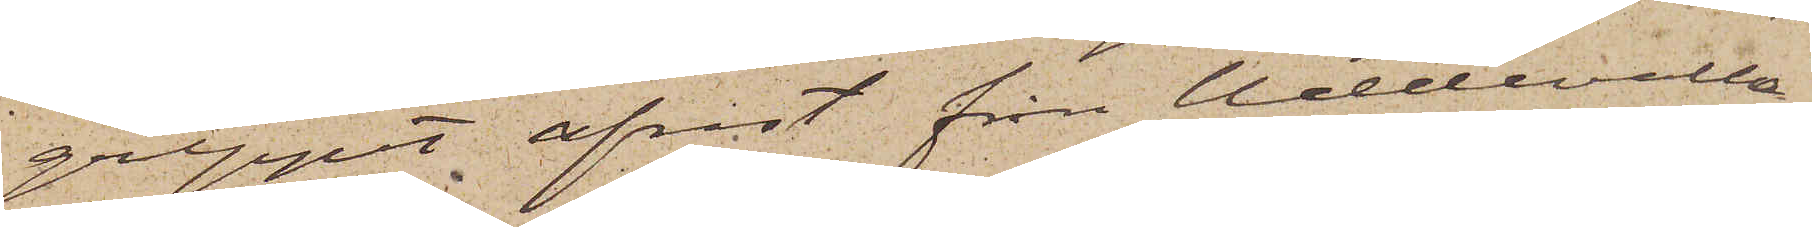greppet afrest från Ullevalla,
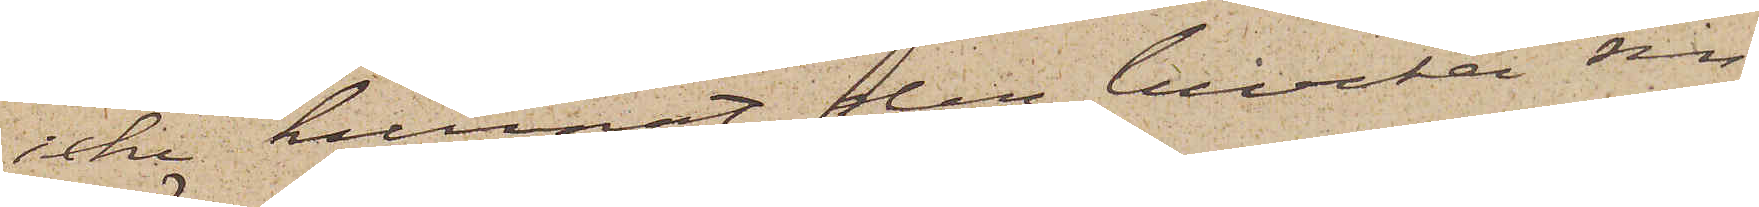icke kunnat der bevaka sin
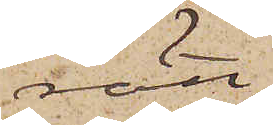rätt,
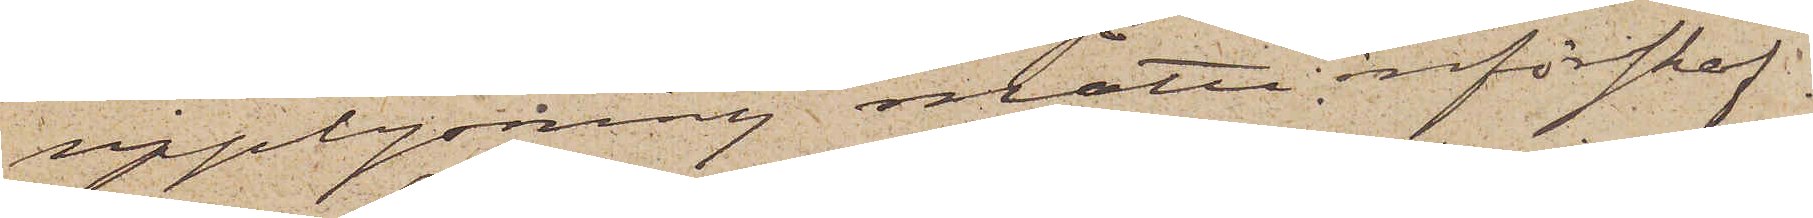upplysning måtte införskaf¬
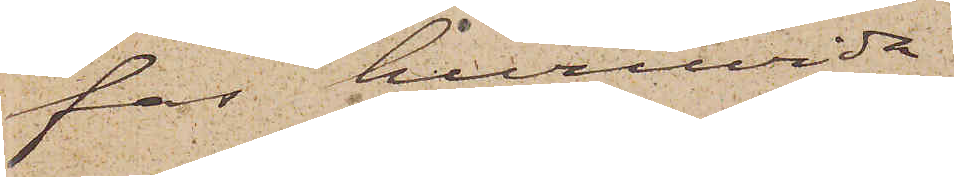fas huruvida
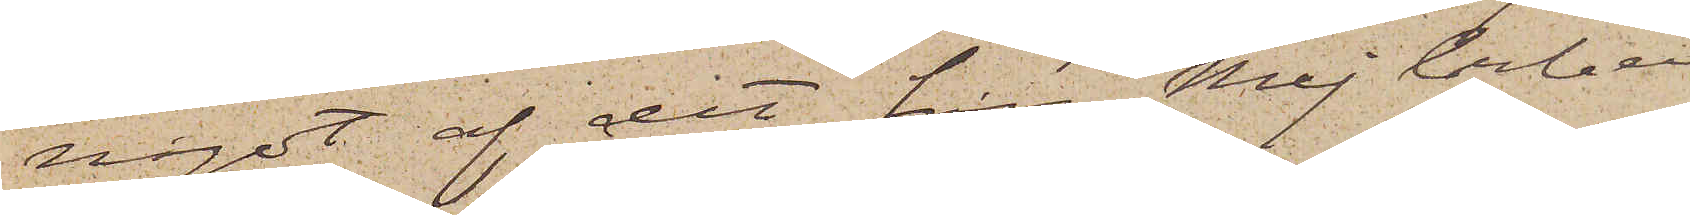något af det från Mejerberg
